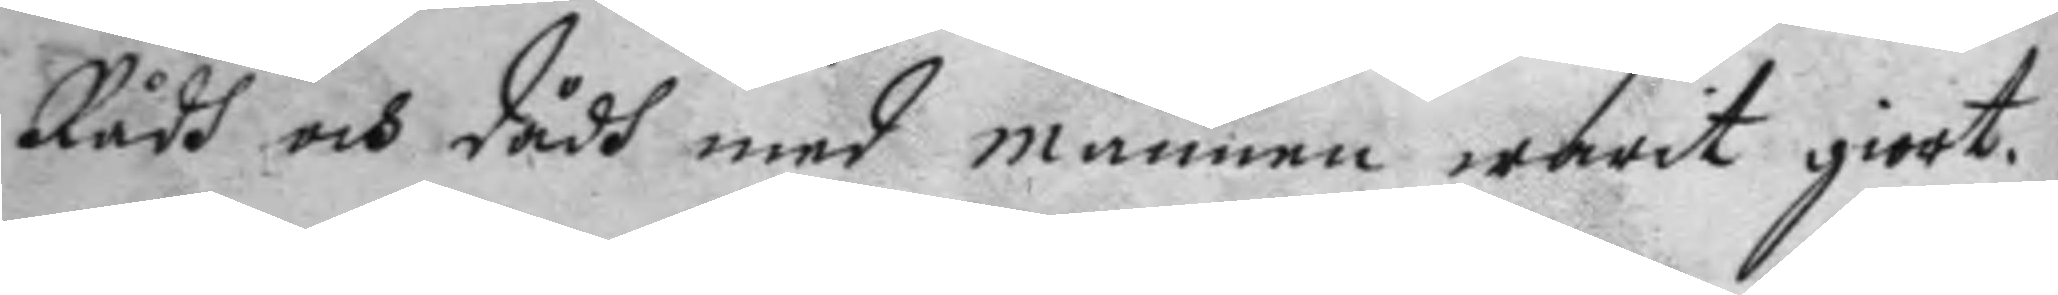Rådh och dådh med mannen warit giort.
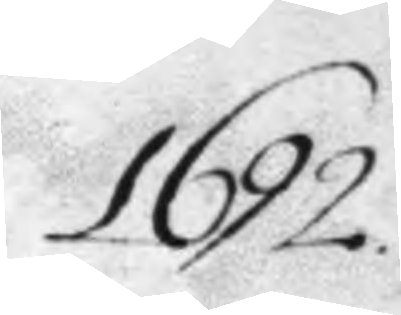1692
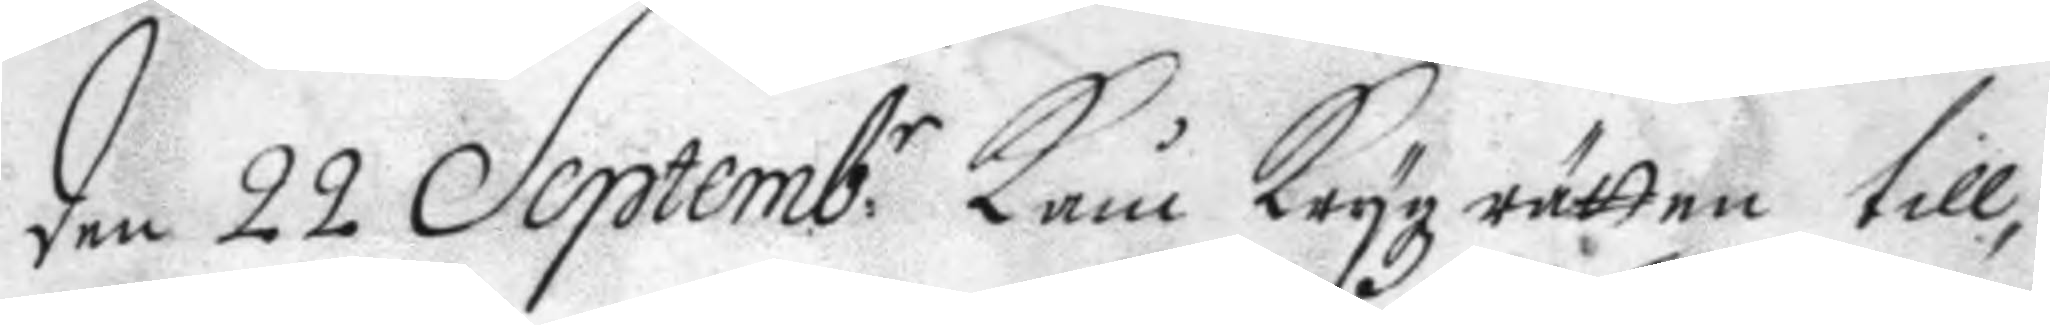den 22 Septemb:r Kåm Krygz rätten till¬
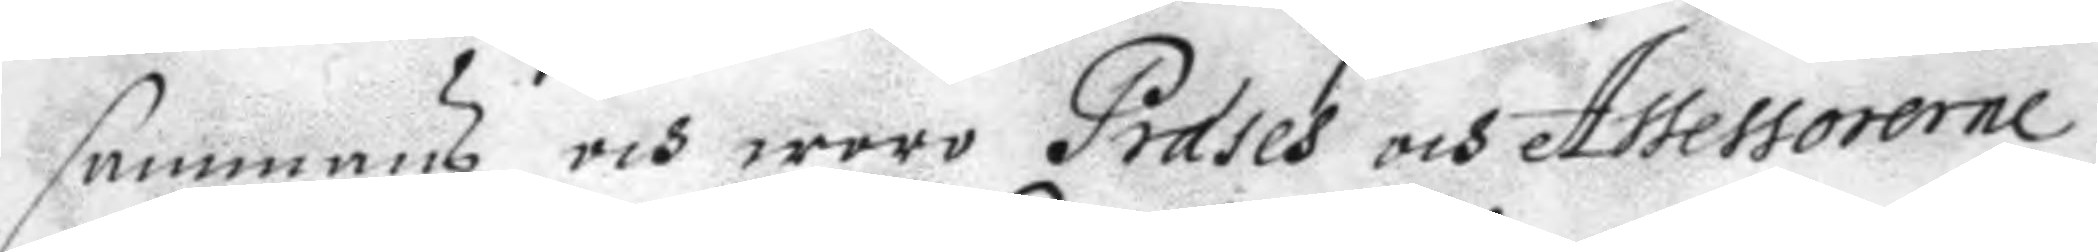sammans och woro Præses och Assessorerne
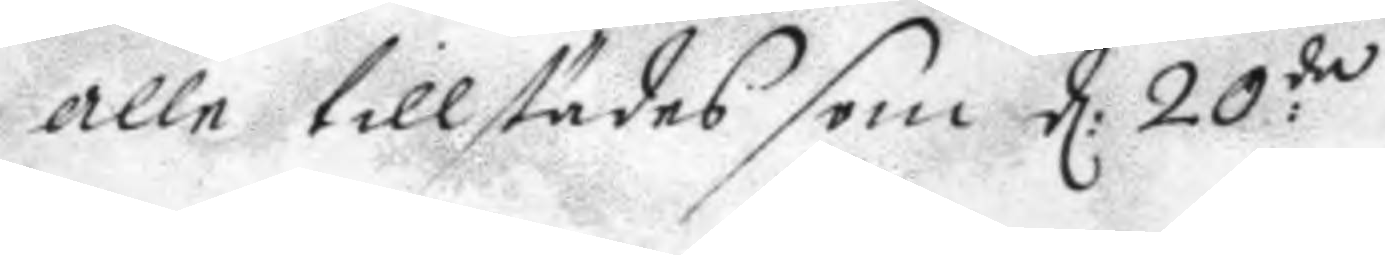alle tillstädes som d: 20:de
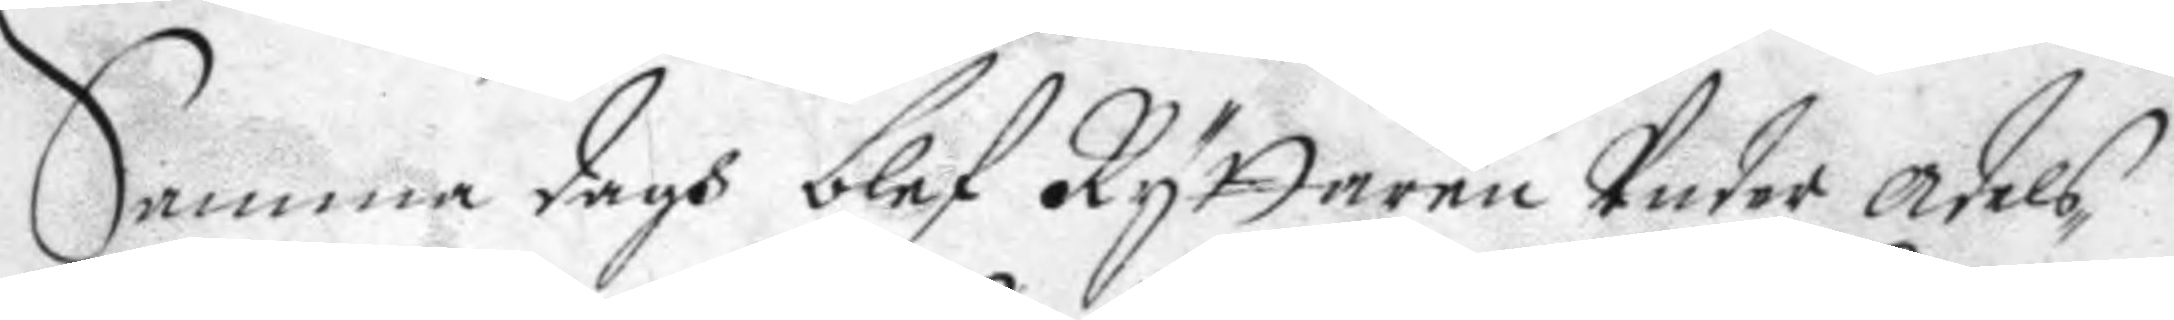Samma dagh blef Ryttaren Under adels¬
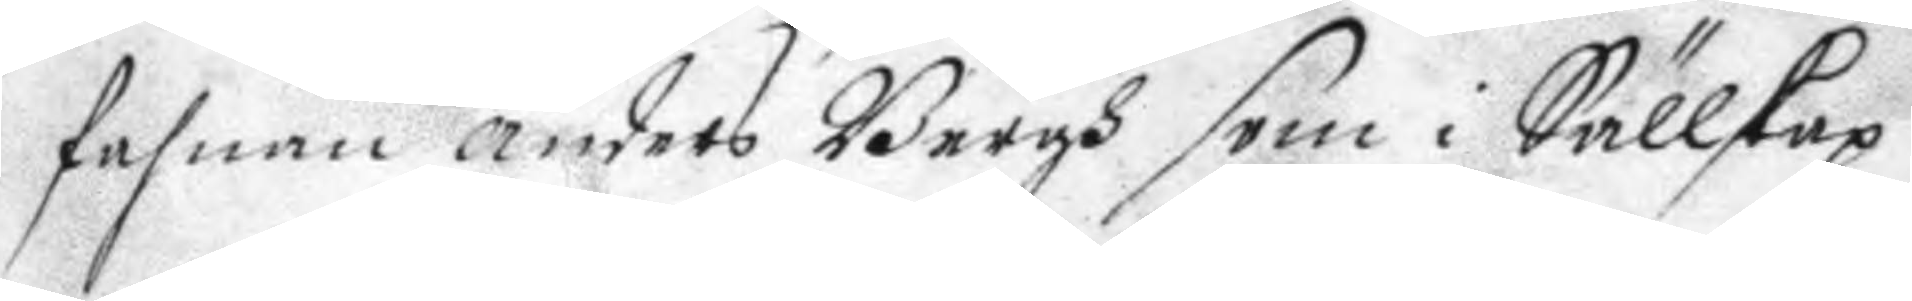fahnan anders Bergh som i Sällskap
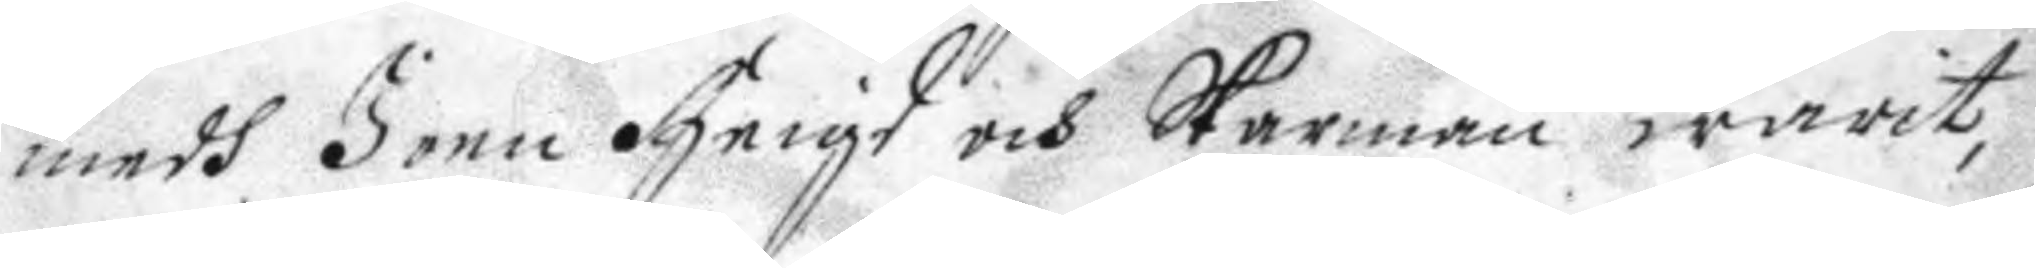medh Joen Heigd och Skarman warit
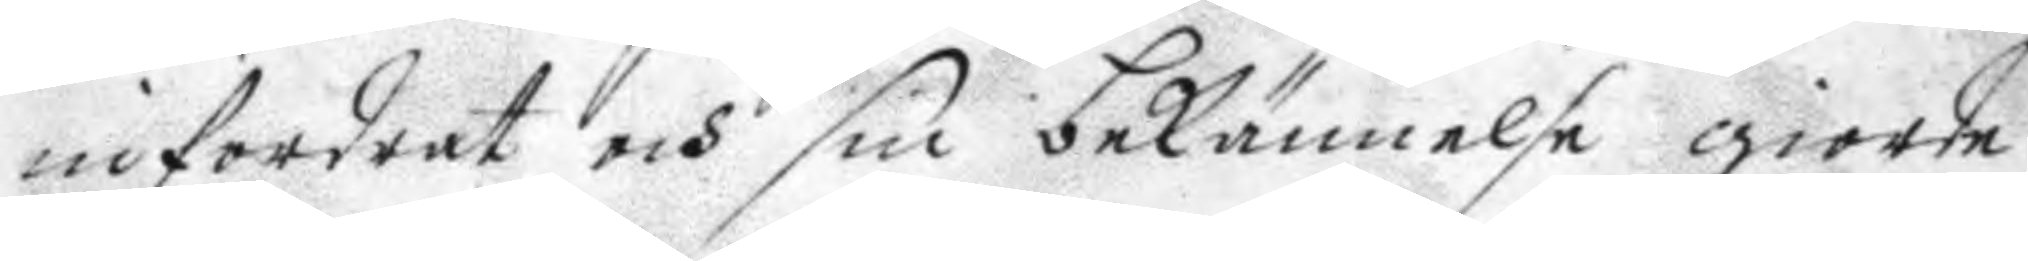infordrat och sin bekännelse giorde
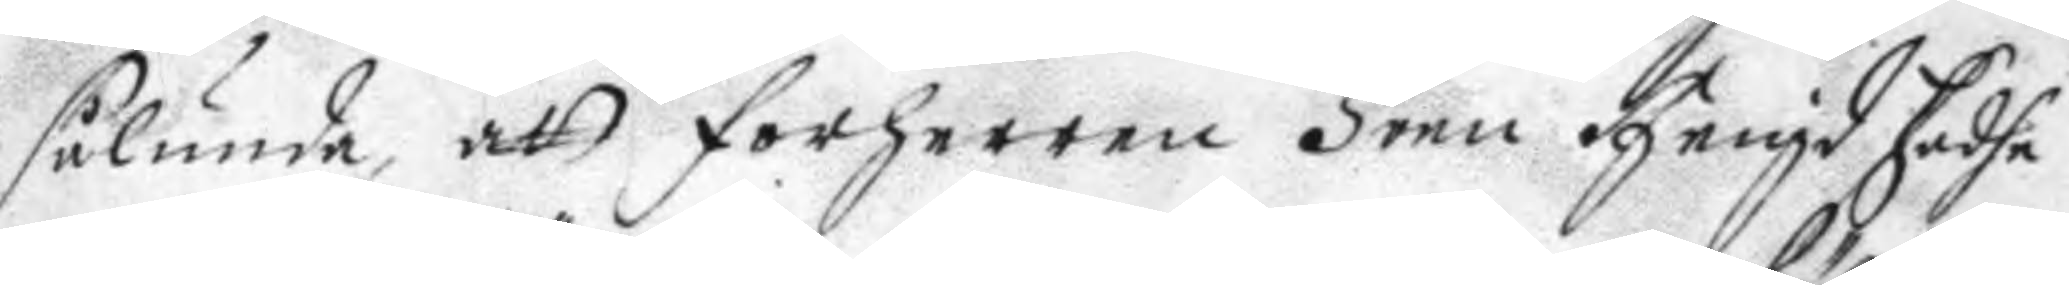sålunda, att forherren Joen Heigd hadhe
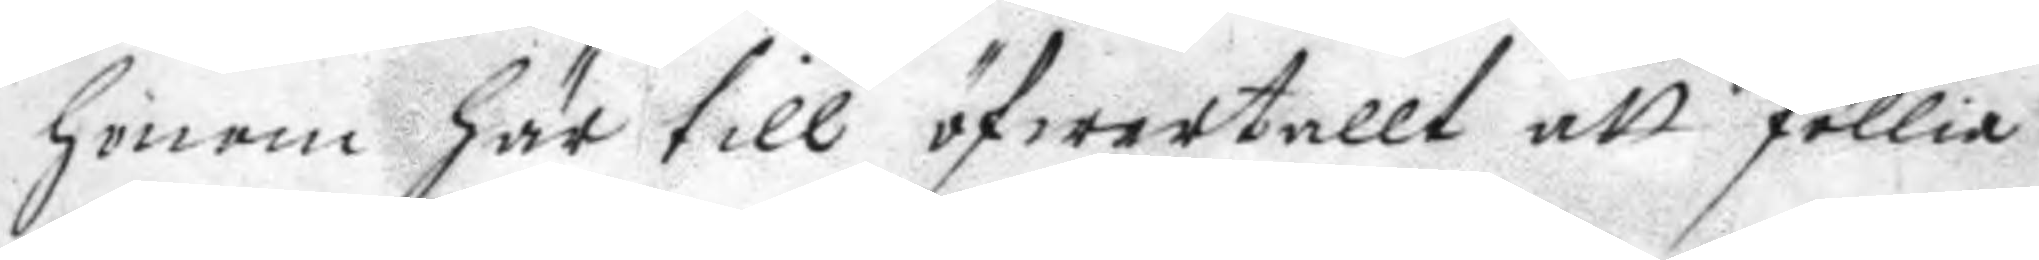honom här till öfwertallt att föllia
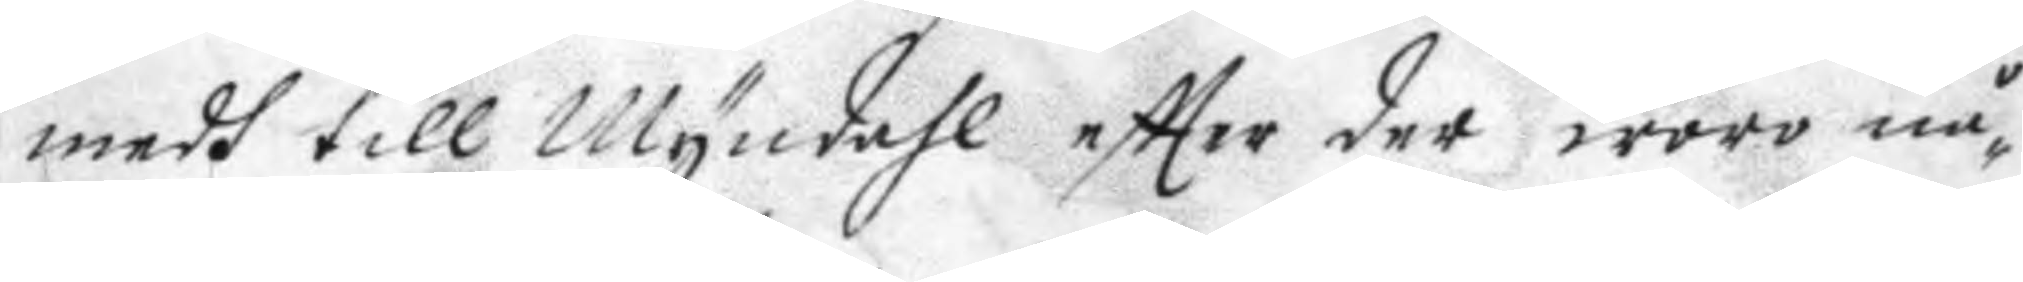medh till Myndahl eftter der woro nå¬
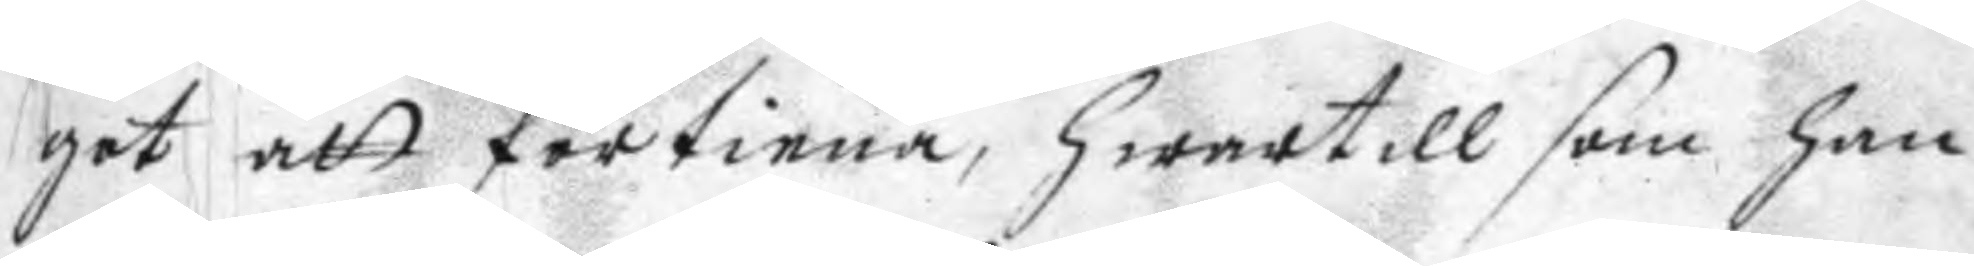got att förtiena, hwartill som han
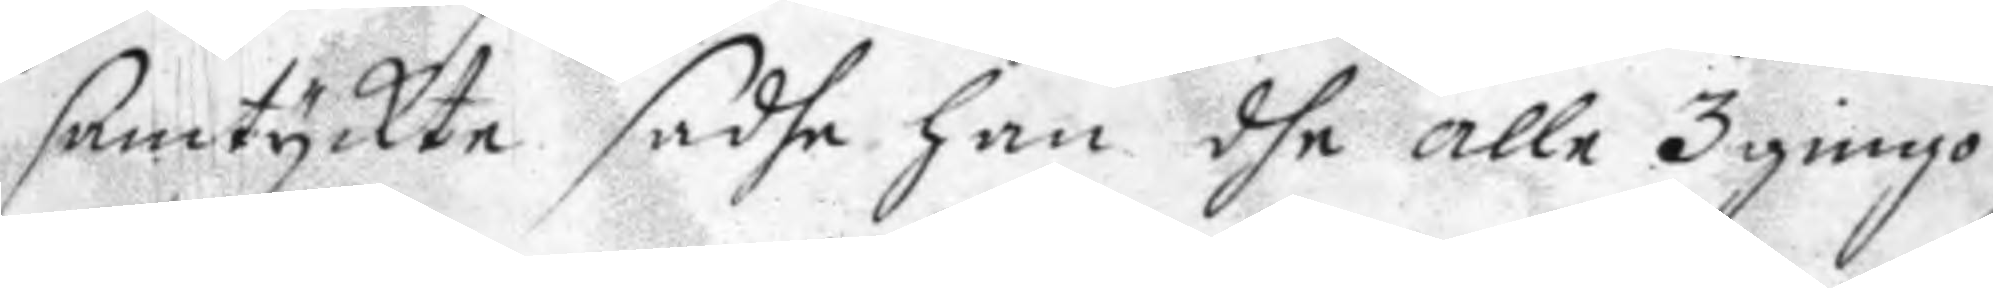samtyckte sadhe han dhe alle 3 gingo
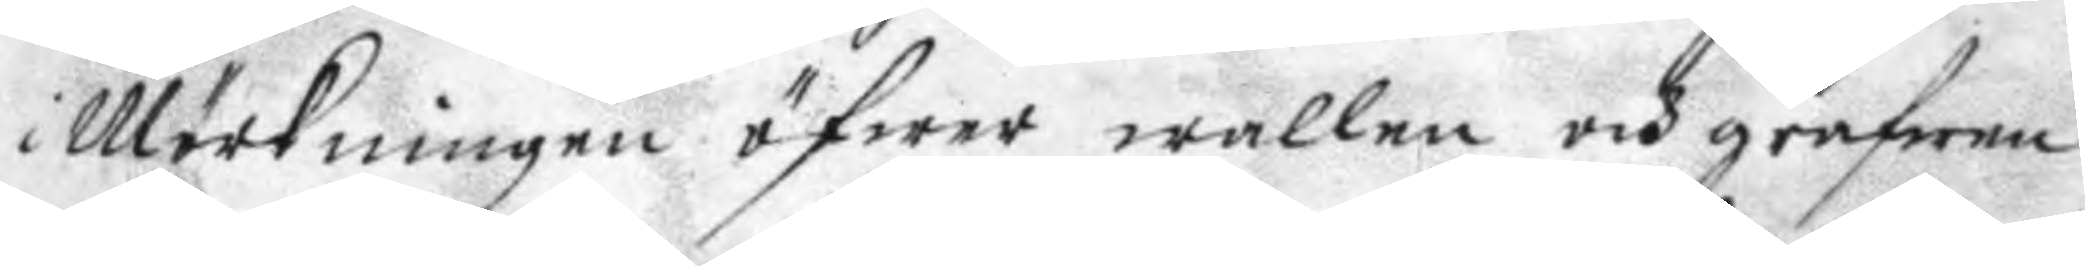i Mörkningen öfwer wallen och grafwen
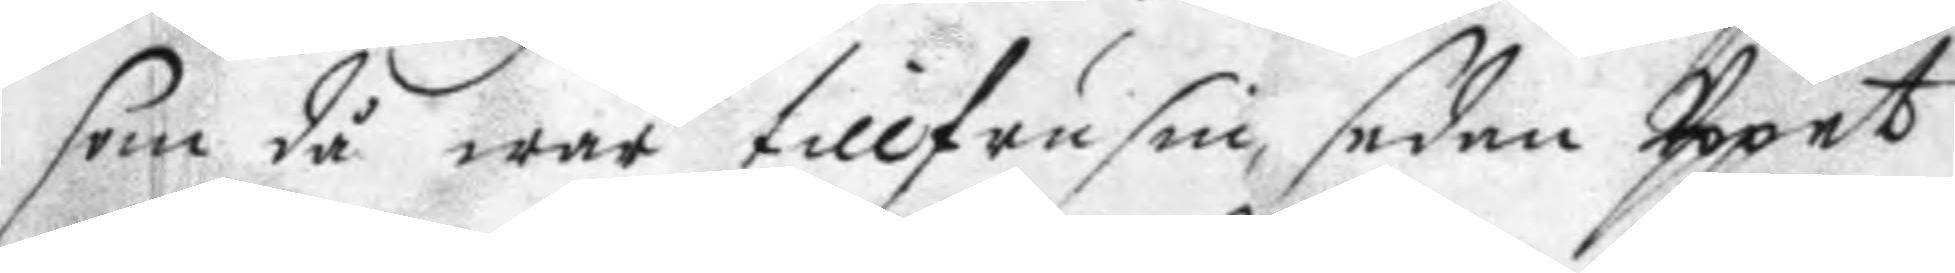som då war tillfrusen sedan Uppet
